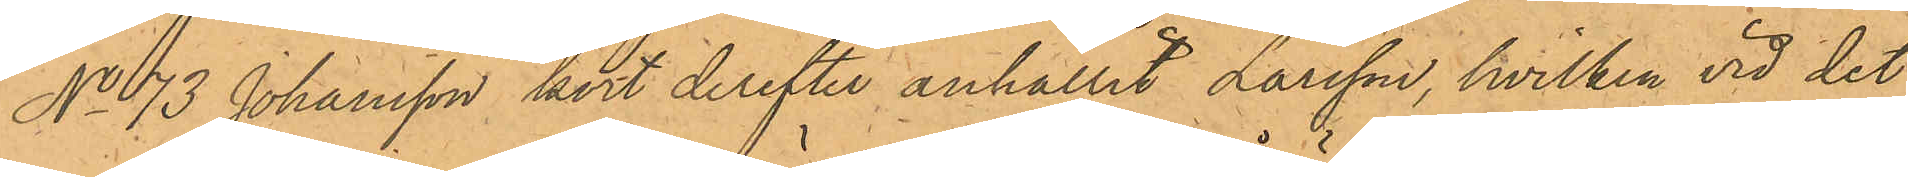No 73 Johansson kort derefter anhållit Larsson, hvilken vid det
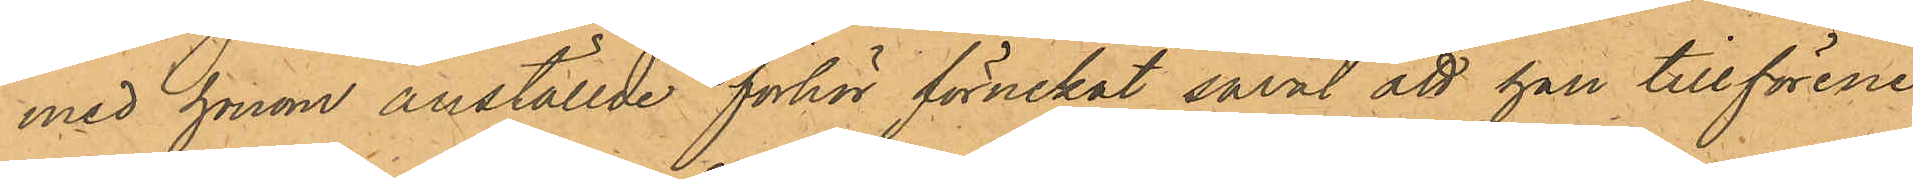med honom anställde förhör förnekat såväl att han tillförene
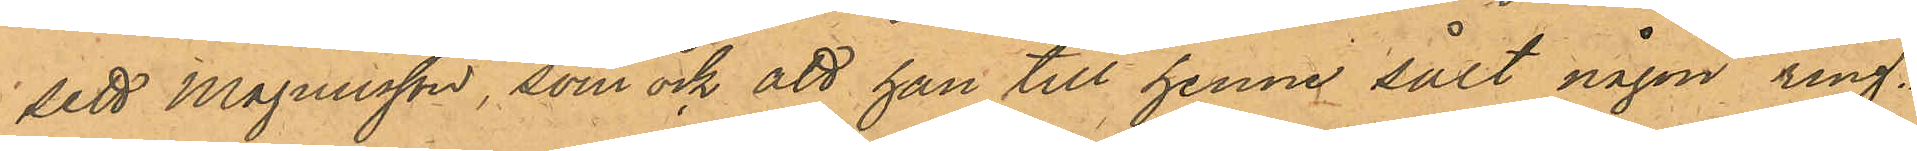sett Magnusson, som ock att han till henne sålt någon ring.
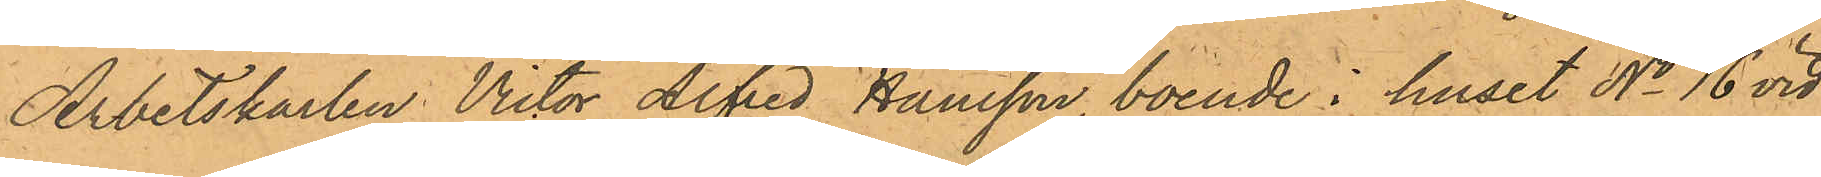Arbetskarlen Victor Alfred Hansson, boende i huset No 16 vid
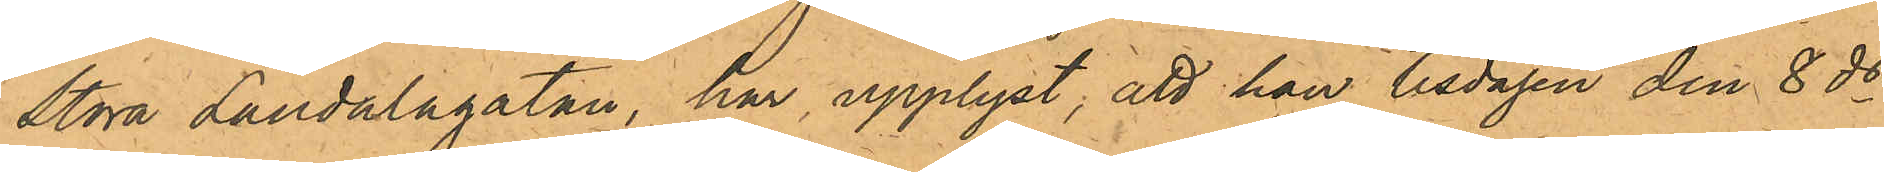Stora Landalagatan, har upplyst; att han tisdagen den 8 ds
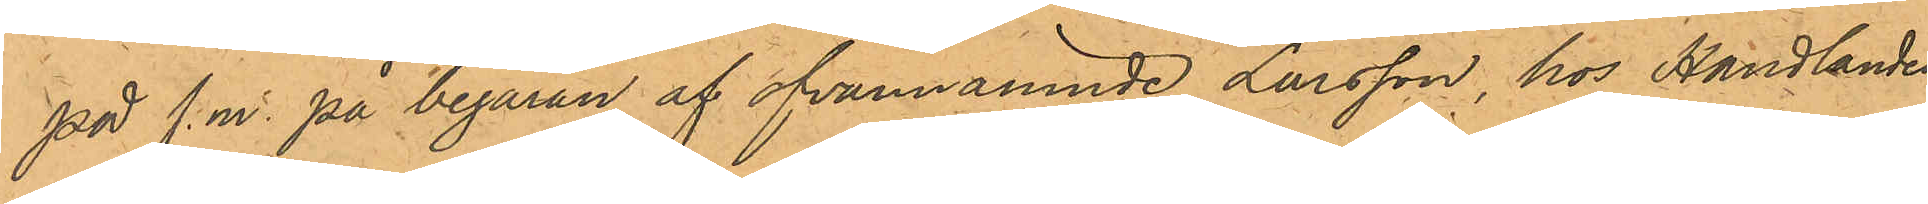på f.m. på begäran af ofvannämnde Larsson, hos Handlanden
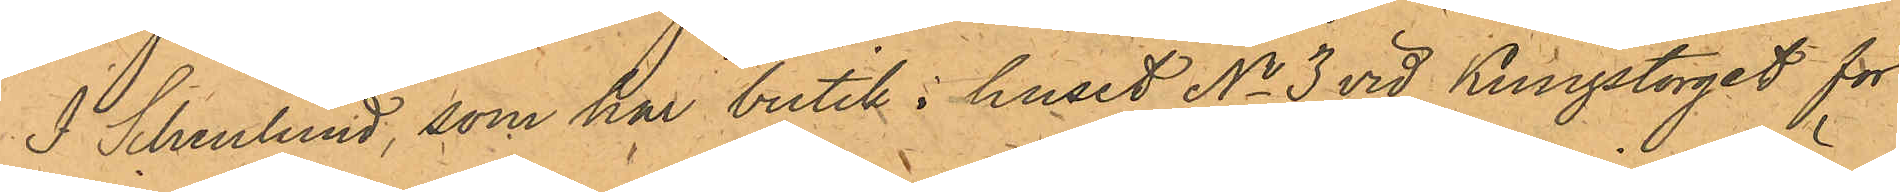J. Schenlund, som har butik i huset No 3 vid Kungstorget för
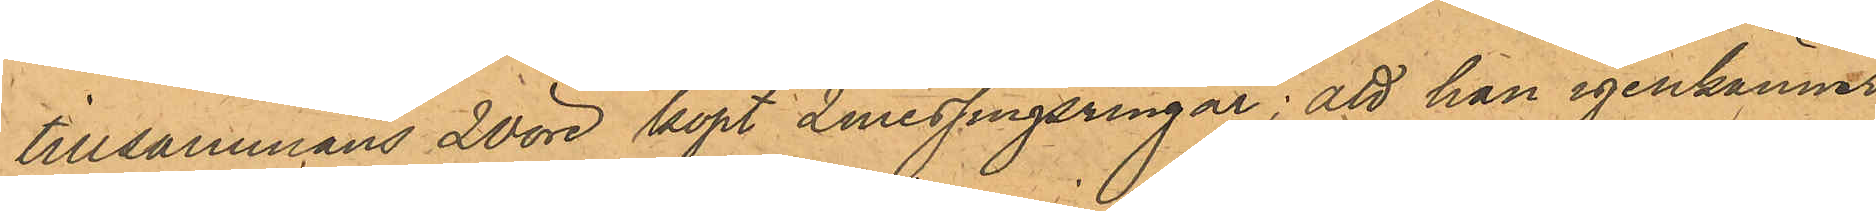tillsammans 20 öre köpt 2 messingsringar; att han igenkänner
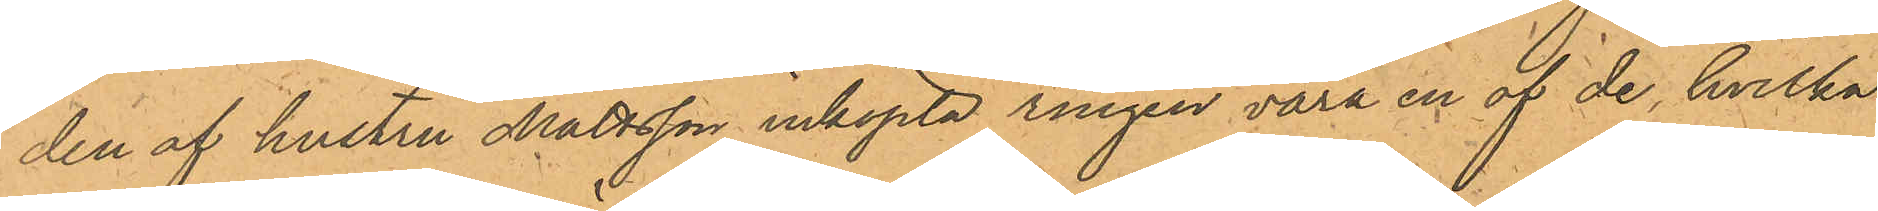den af hustru Mattsson inköpta ringen vara en af de, hvilka
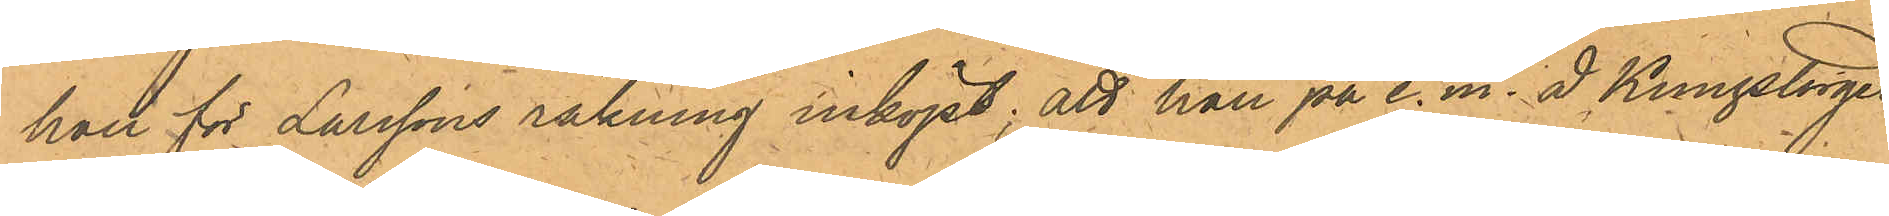han för Larssons räkning inköpt; att han på e.m. å Kungstorget
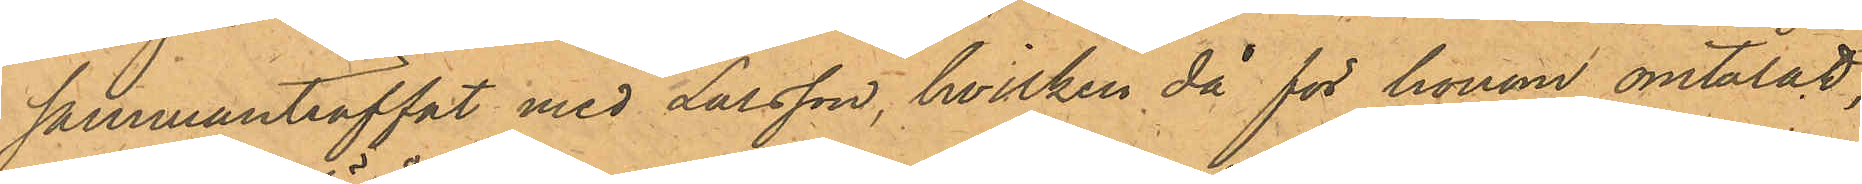sammanträffat med Larsson, hvilken då för honom omtalat
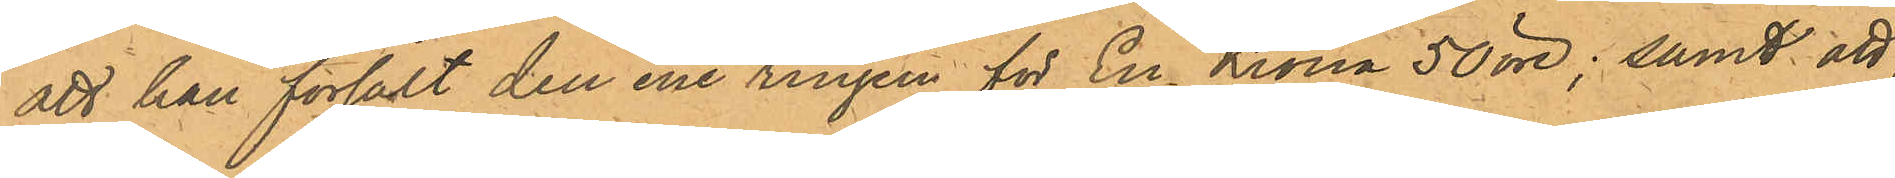att han försålt den ene ringen för En Krona 50 öre; samt att,
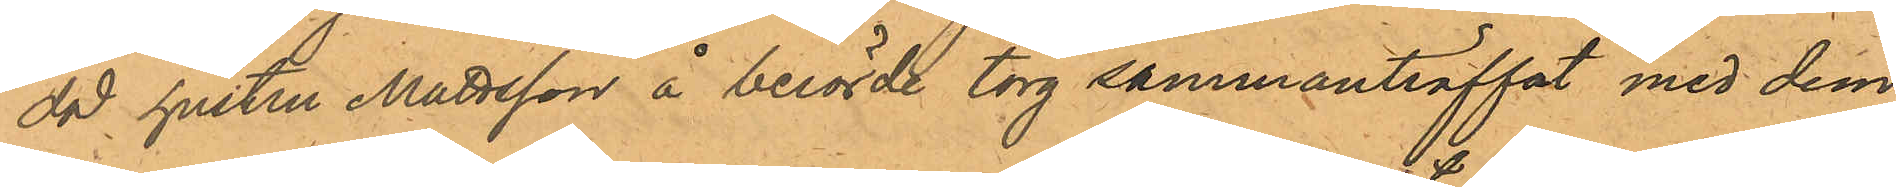då hustru Mattsson å berörde torg sammanträffat med dem,
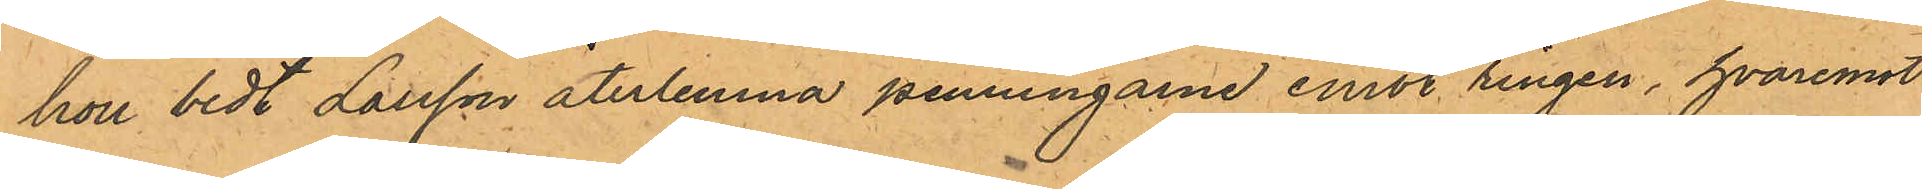hon bedt Larsson återlemna penningarne emot ringen, hvaremot
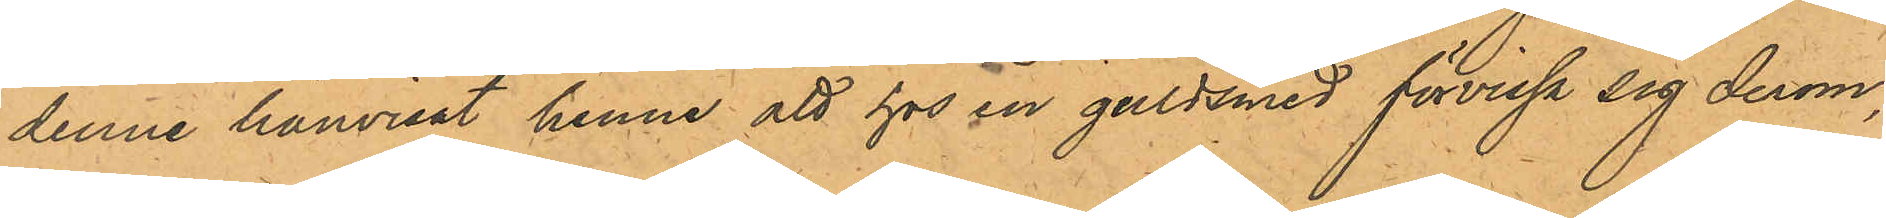denne hänvisat henne att hos en guldsmed förvissa sig derom
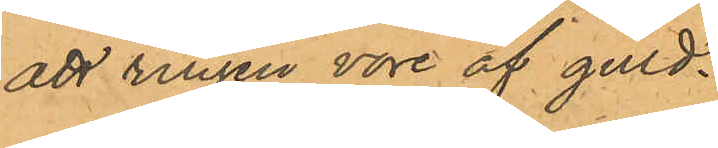att ringen vore af guld.
